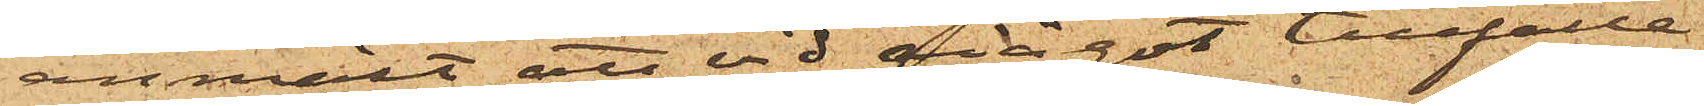anmält att vid något tillfälle
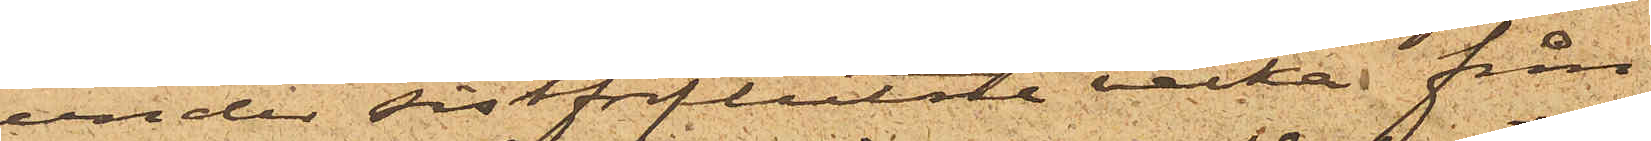under sistförflutne vecka från
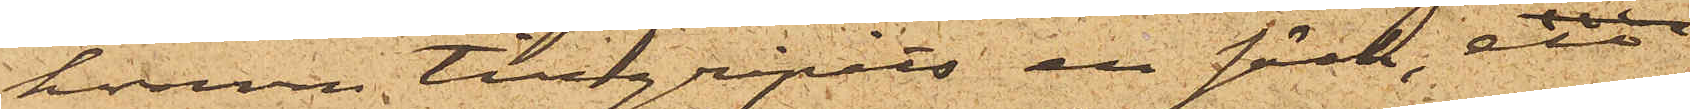honom tillgripits en säck, ett
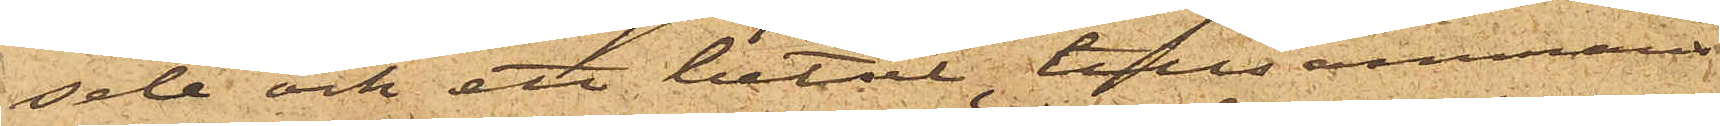sele och ett betsel, tillsammans
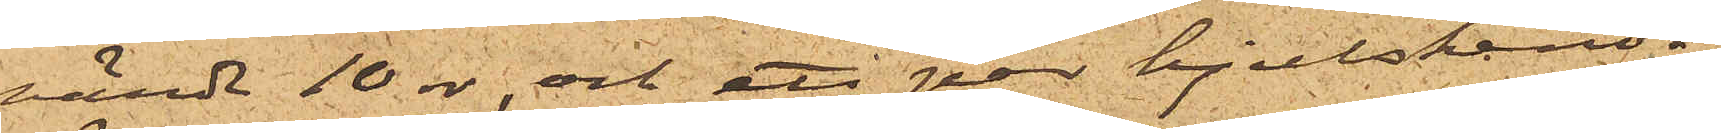värde 10 rdr, och ett par hjulskenor,
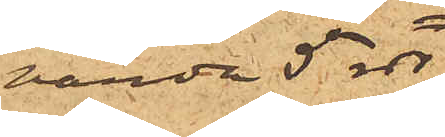värde 5 rdr;
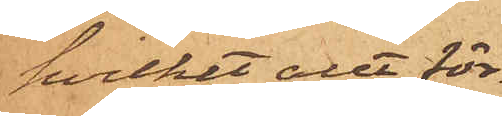hvilket allt för¬
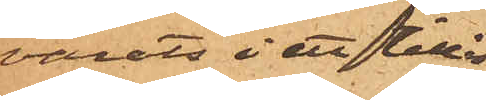varats i ett tillåst
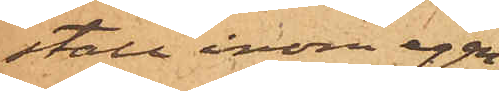stall inom egen¬
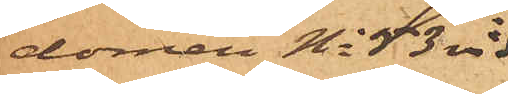domen No 53 vid
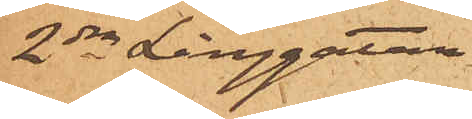2dra Långgatan;
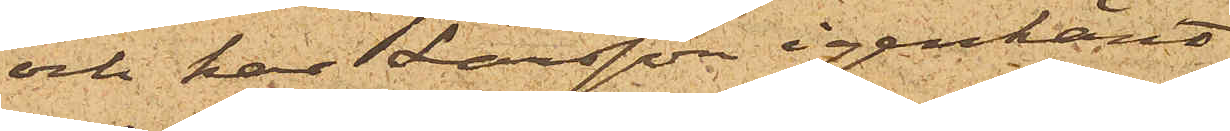och har Larsson igenkänt
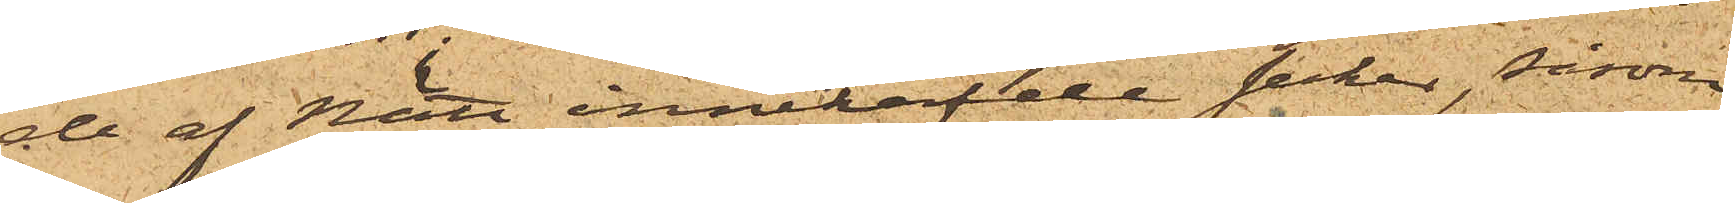de af Nätt innehafde saker, såsom
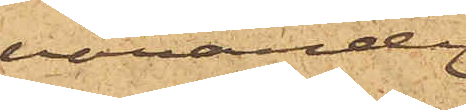varande
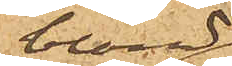bland
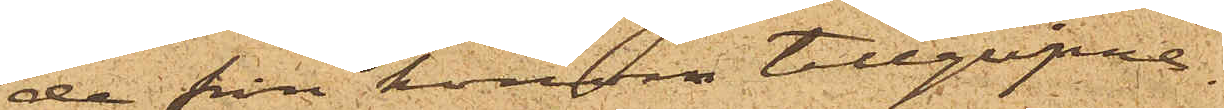de från honom tillgripne.
